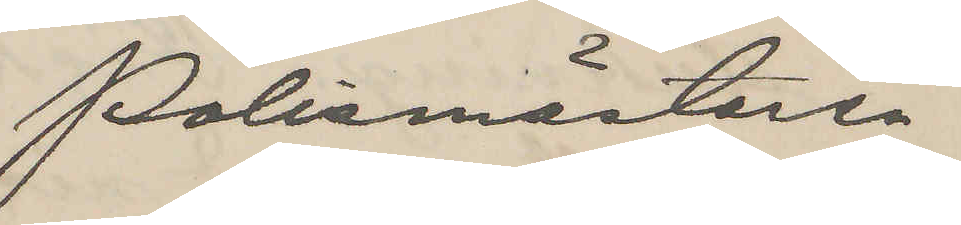Polismästaren.
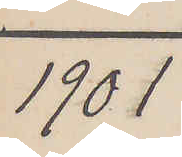1901
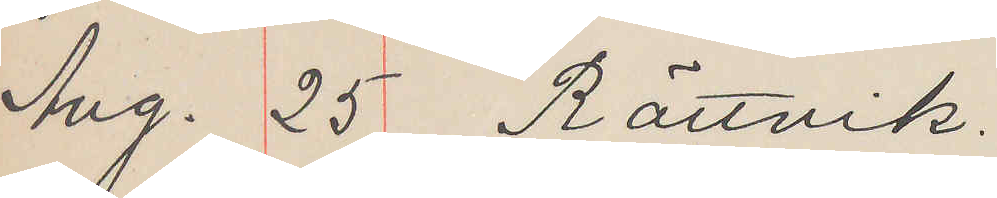Aug. 25 Rättvik.
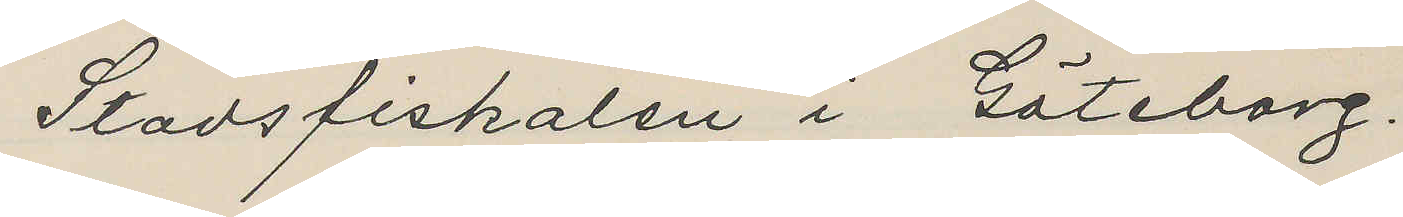Stadsfiskalen i Göteborg.
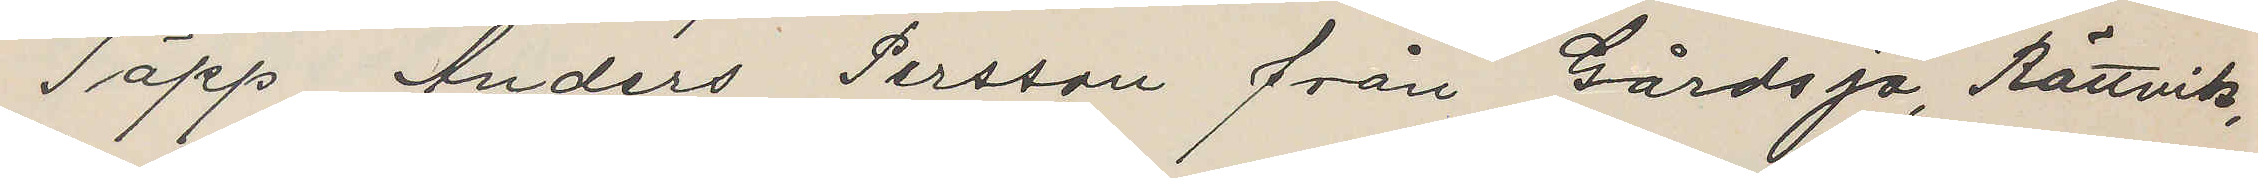Täpp Anders Persson från Gårdsjö, Rättvik,
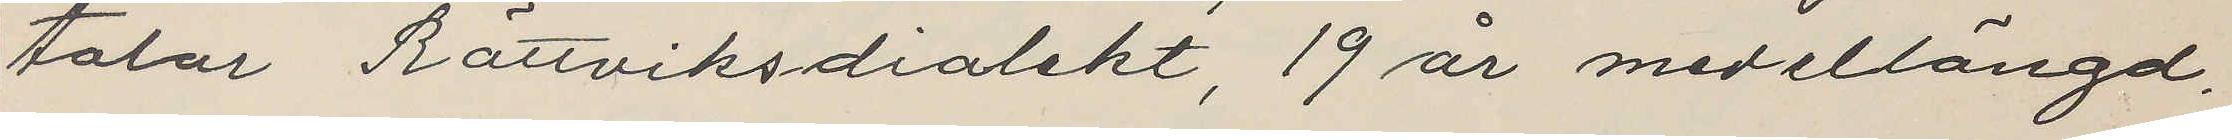talar Rättviksdialekt, 19 år medellängd,
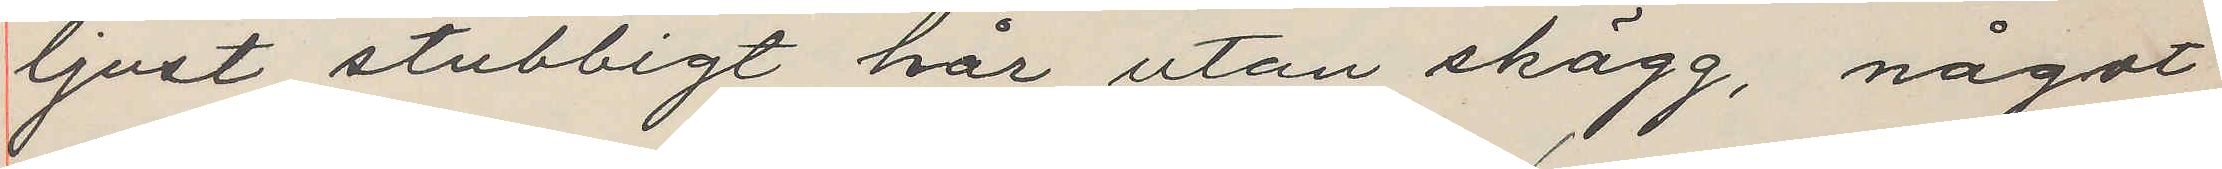ljust stubbigt hår, utan skägg, något
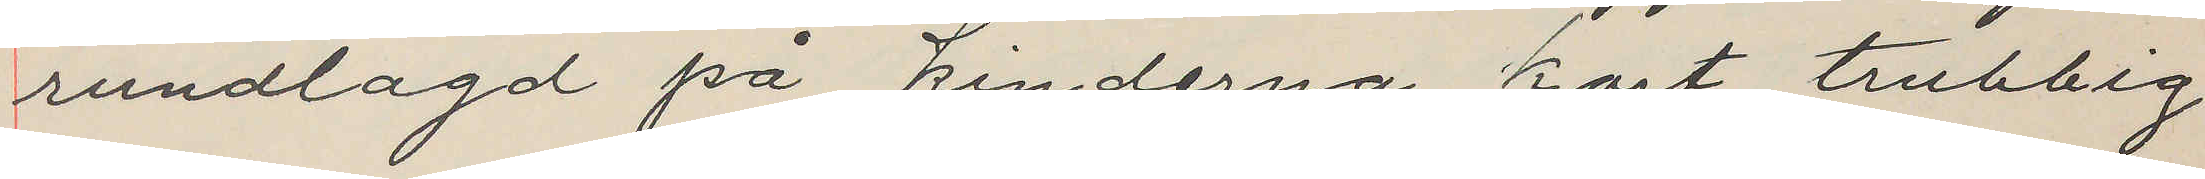rundlagd på kinderna, kort, trubbig
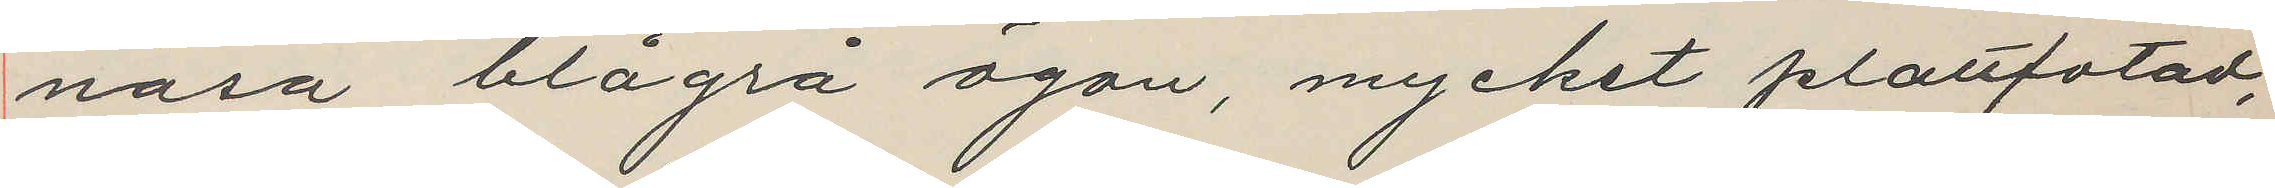näsa, blågrå ögon, mycket plattfotad,
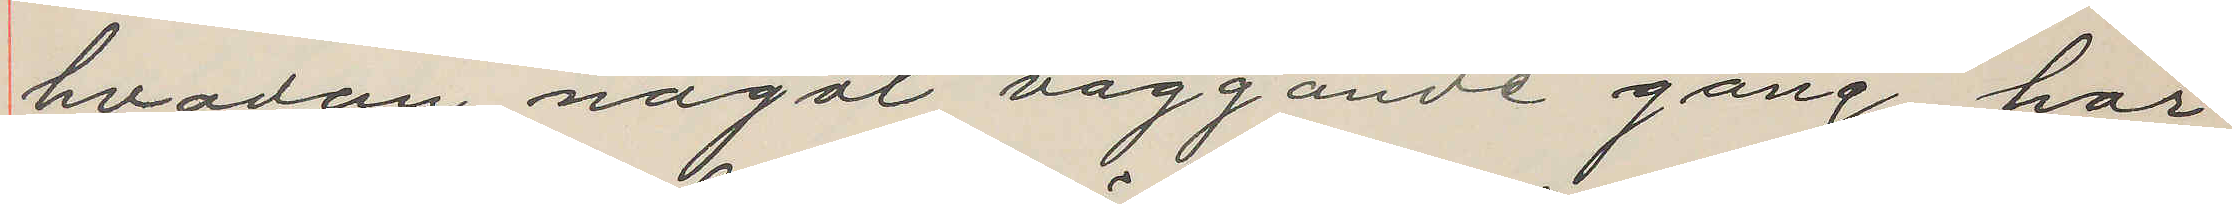hvadan något vaggande gång, har
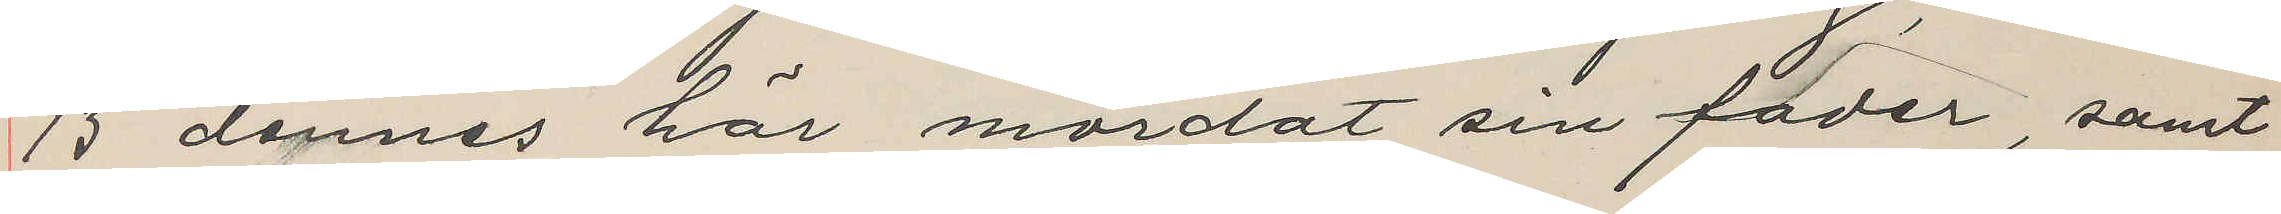13 dennes här mördat sin fader, samt
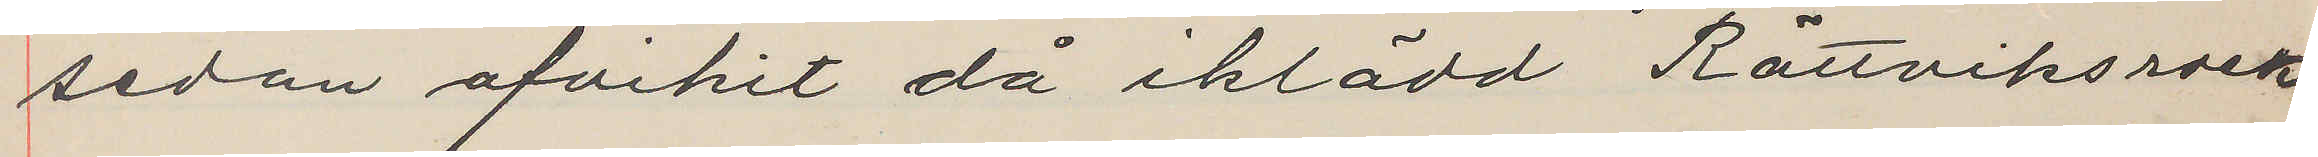sedan afvikit då iklädd Rättviksrock
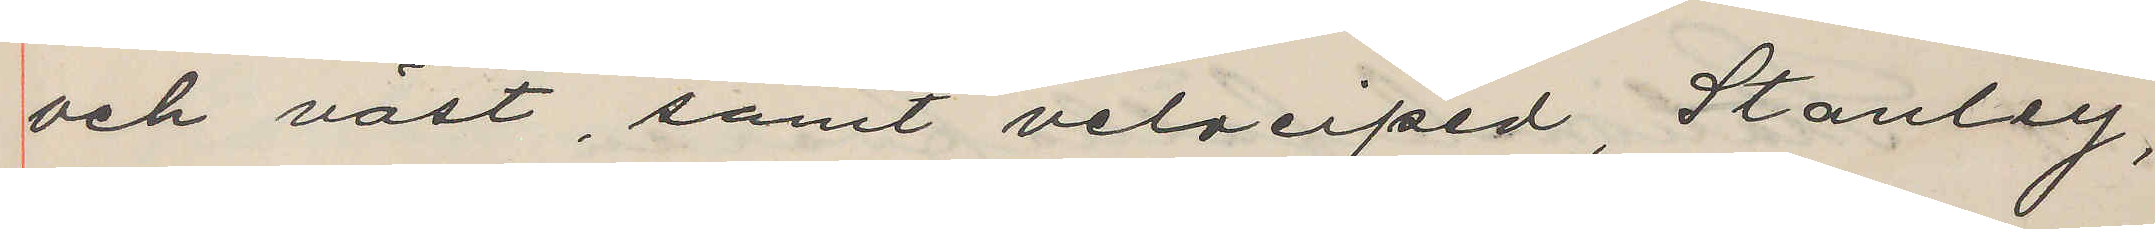och väst, samt velociped, Stanley,
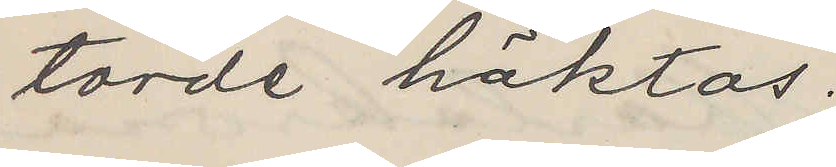torde häktas.
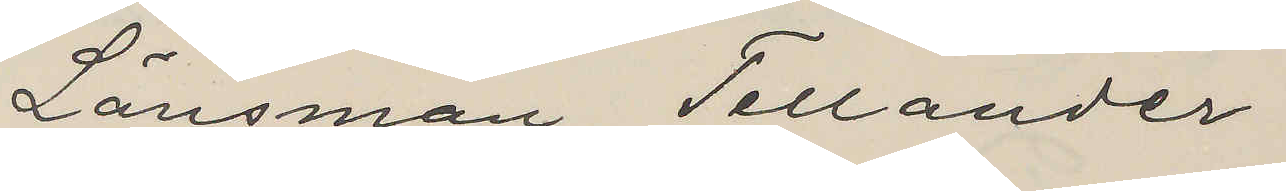Länsman Tellander
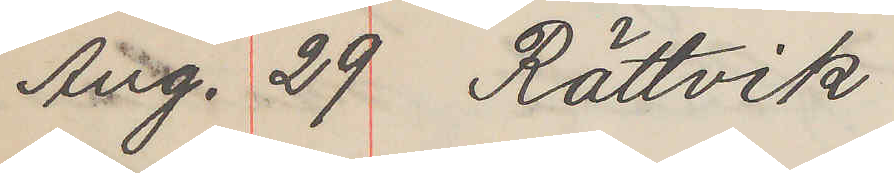Aug. 29 Rättvik
